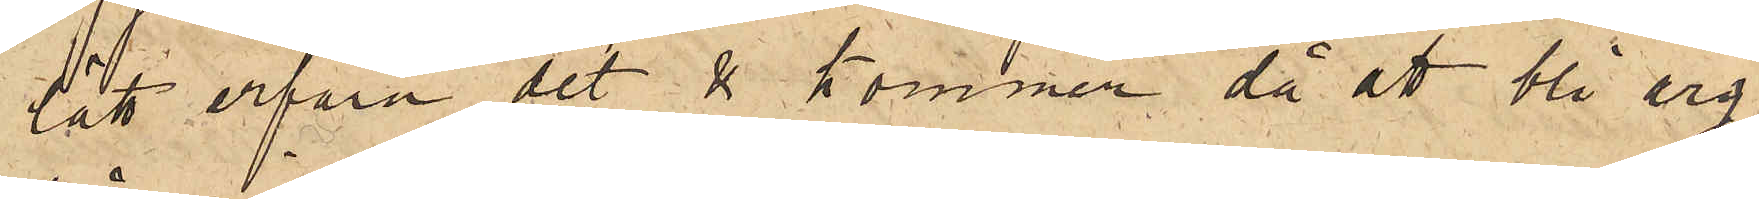lätt erfara det & kommer då att bli arg
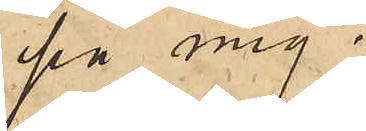på mig.
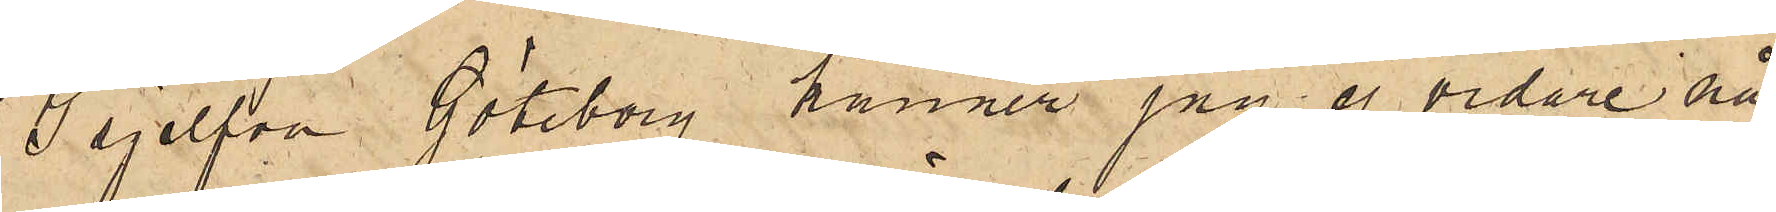I sjelfva Göteborg känner jag ej vidare nå¬
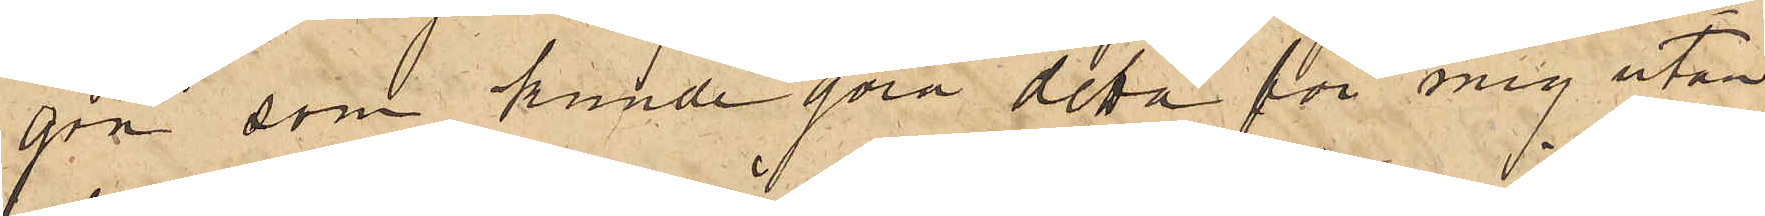gon som kunde göra detta för mig utan
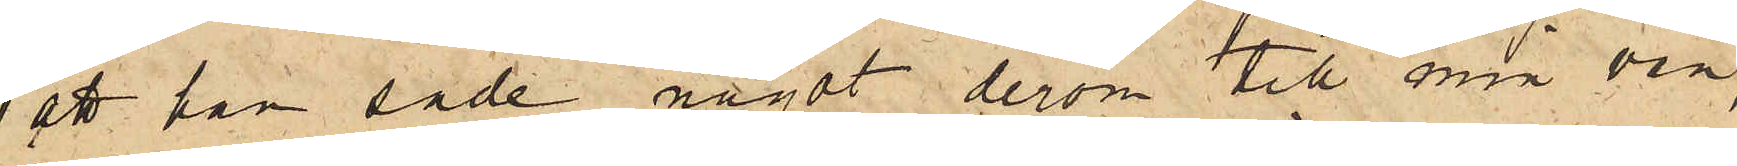att han sade något derom till min vän,
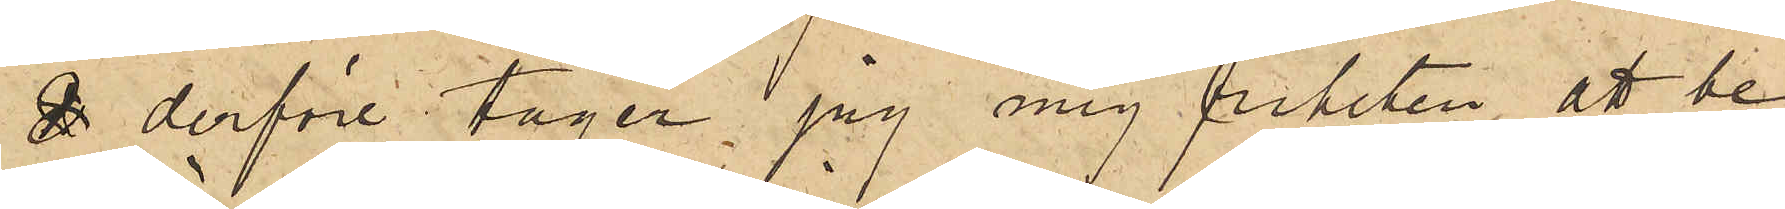& derföre tager jag mig friheten, att be¬
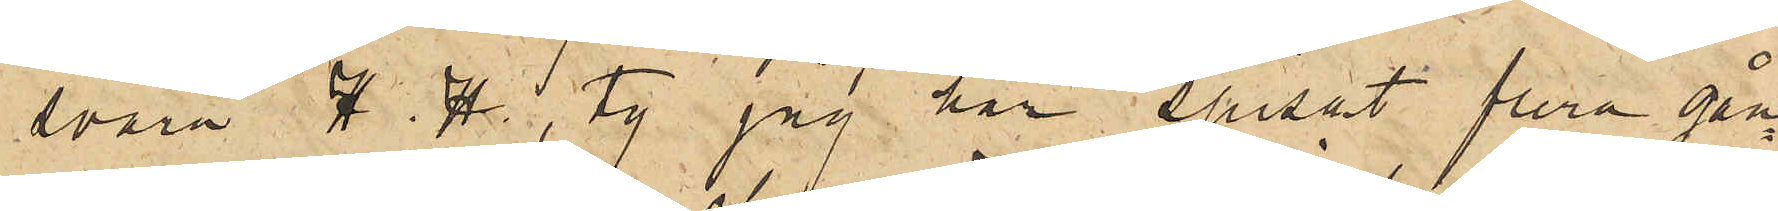svära H. H. , ty jag har spisat flera gån¬
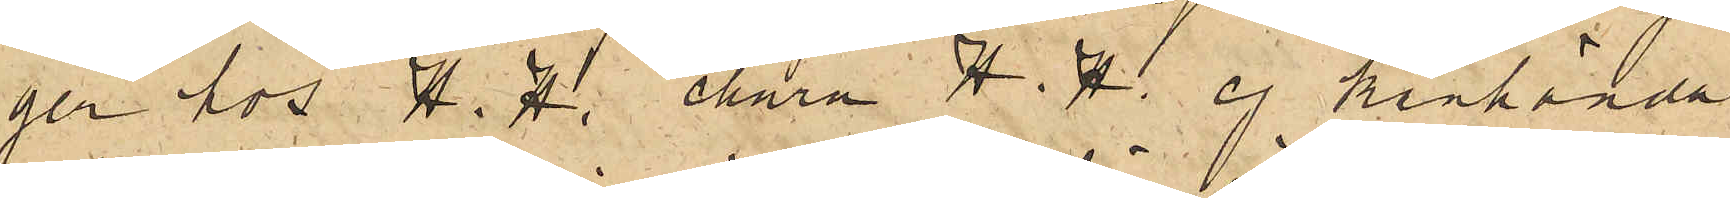ger hos H. H. ehuru H. H. ej kanhända
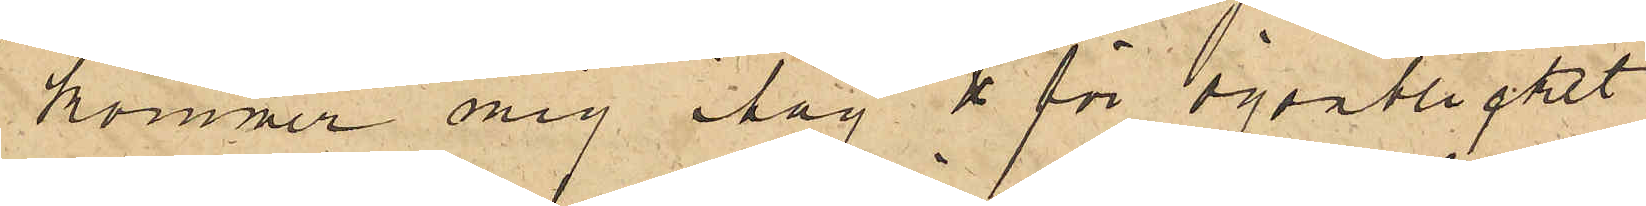kommer mig ihåg & för ögonblicket
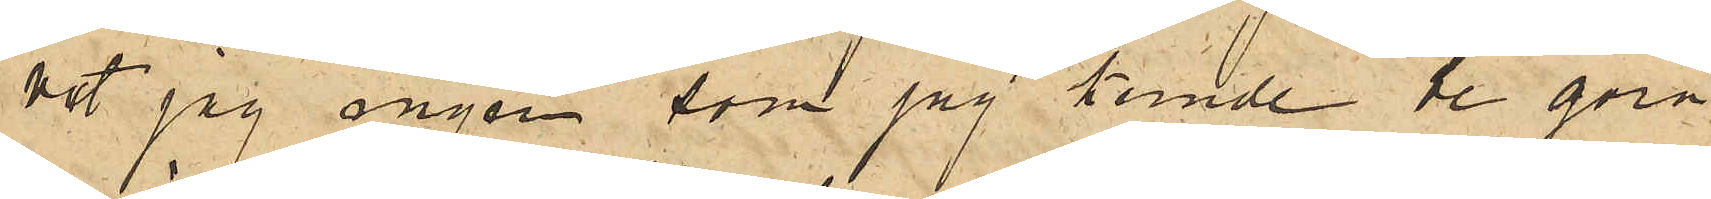vet jag ingen som jag kunde be göra
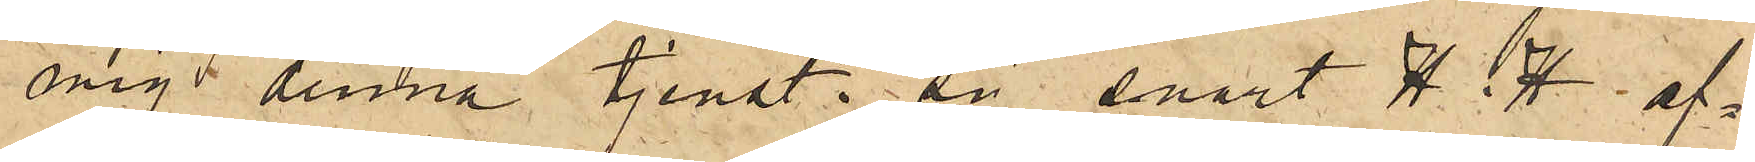mig denna tjenst. Så snart H. H. af¬
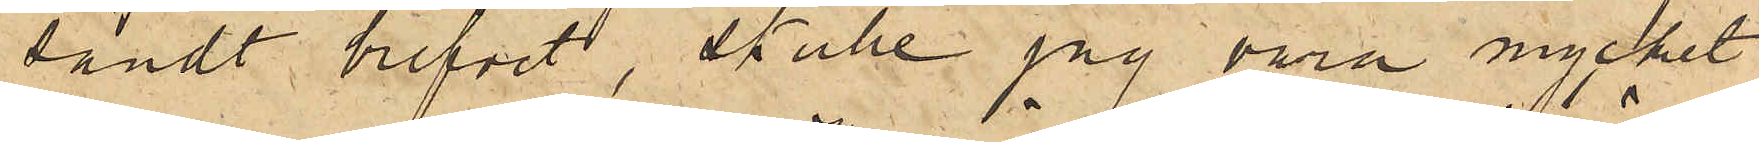sändt brefvet, skulle jag vara mycket
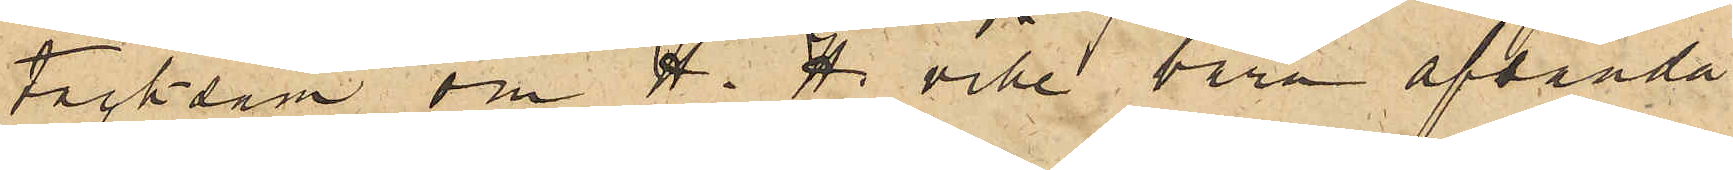tacksam om H. H. ville bara afsända
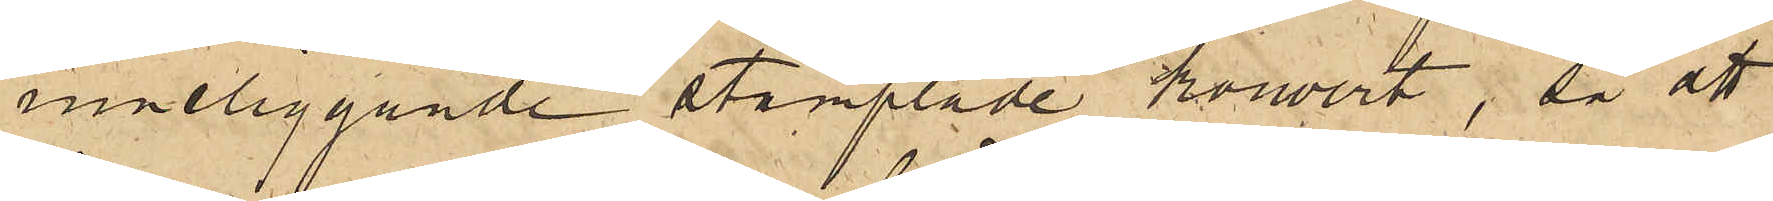inneliggande stämplade kouvert, så att
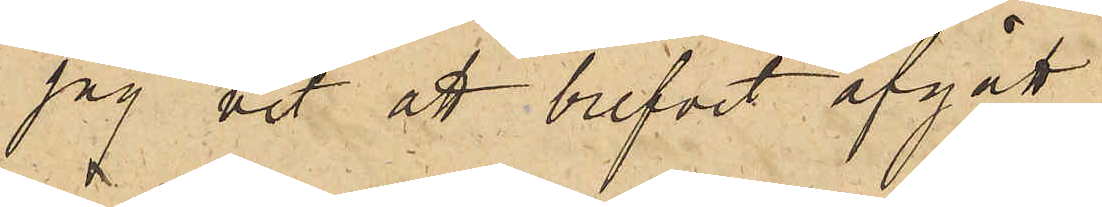jag vet att brefvet afgått.
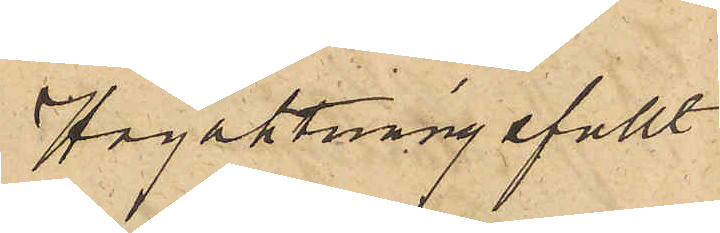Högaktningsfullt
